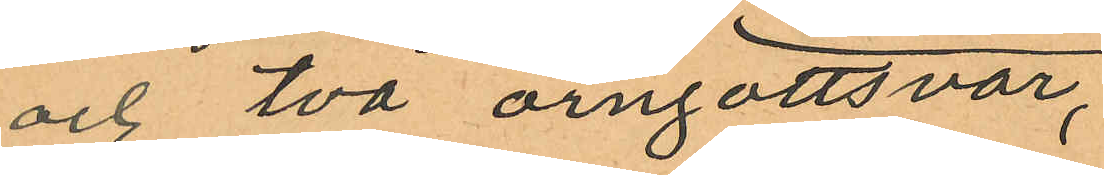och två örngottsvar,
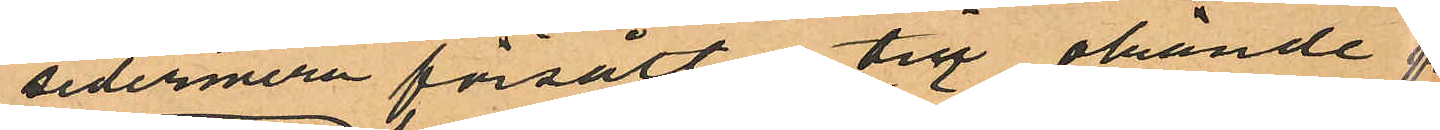sedermera försålt till okände
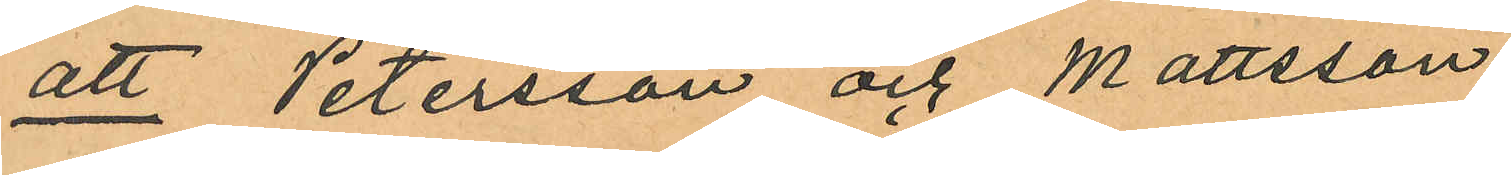att Petersson och Mattsson
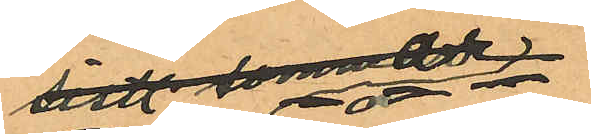sistl. sommar
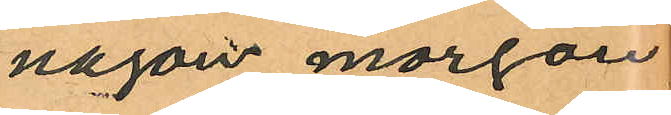någon morgon
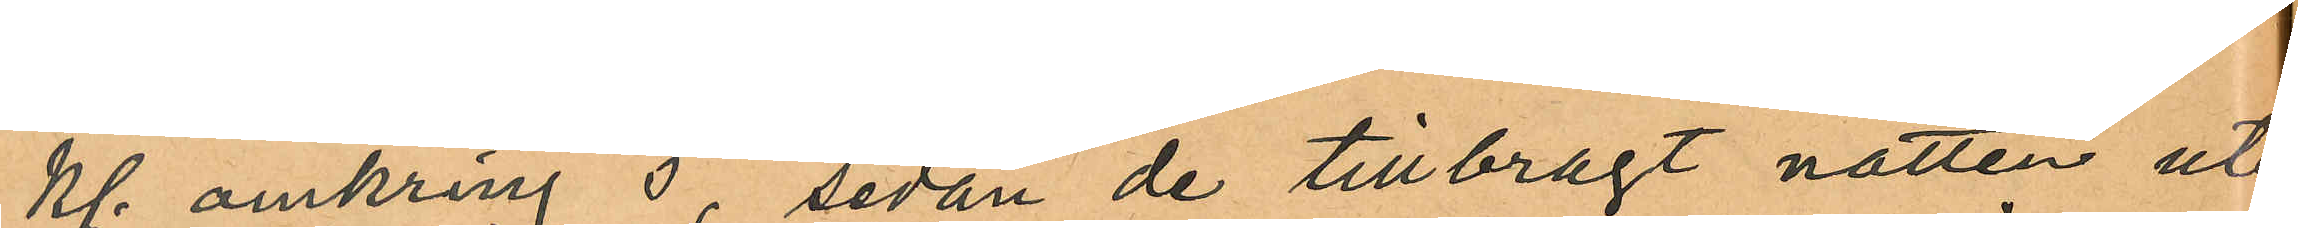kl. omkring 5, sedan de tillbragt natten ute
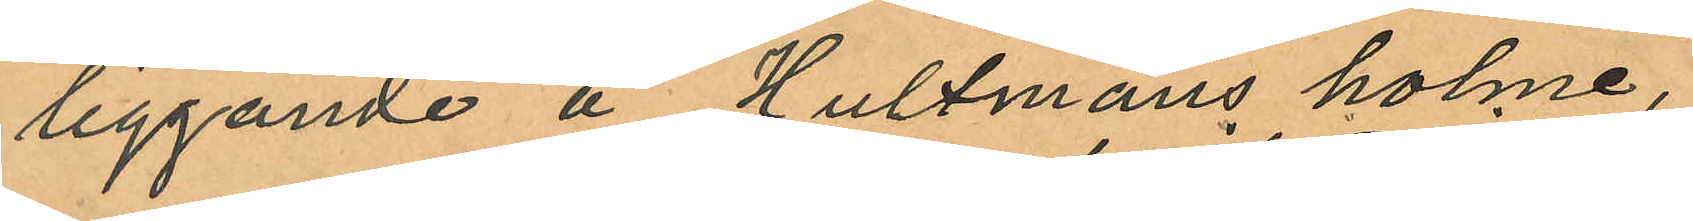liggande å Hultmans holme,
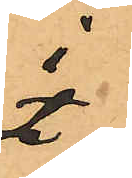i
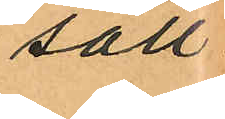säll¬
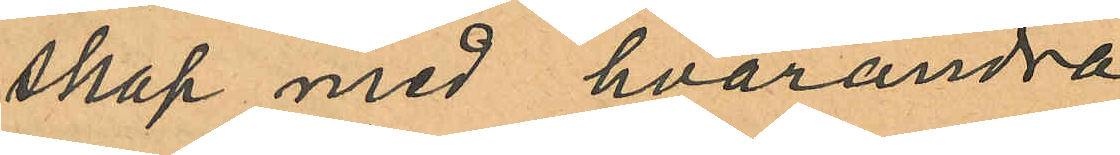skap med hvarandra
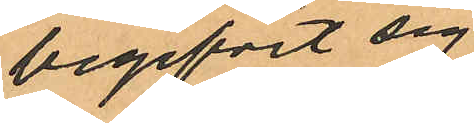begifvit sig
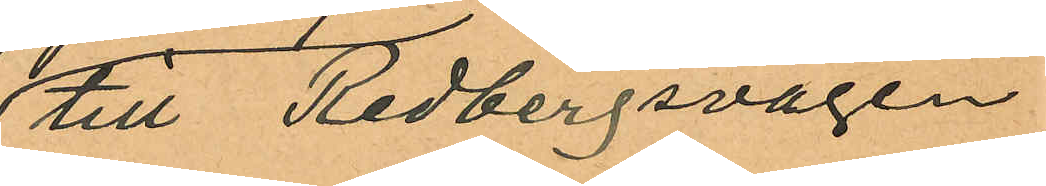till Redbergsvägen;
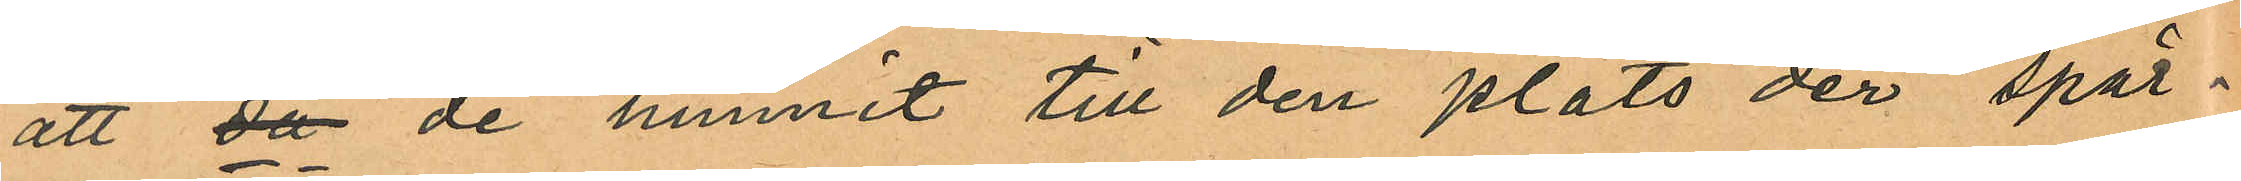att då de hunnit till den plats der spår¬
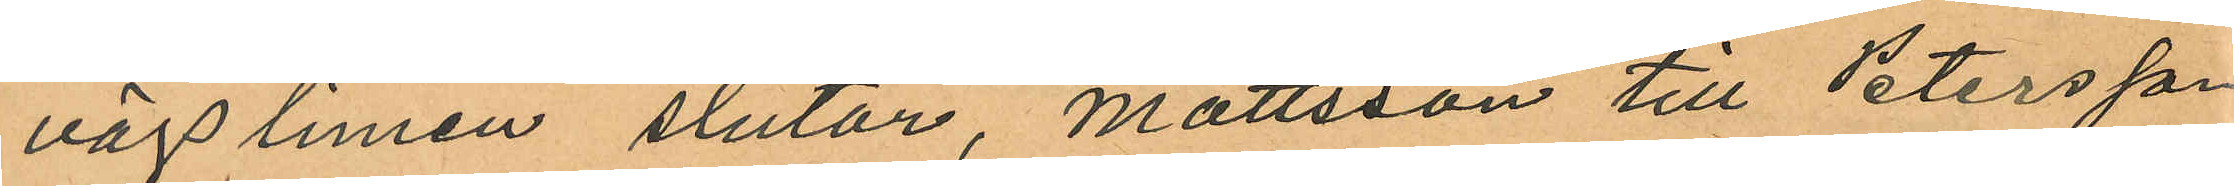vägslinien slutar, Mattsson till Petersson
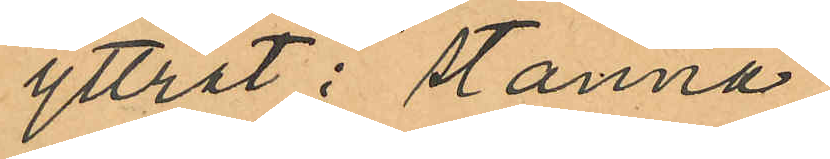yttrat: "stanna
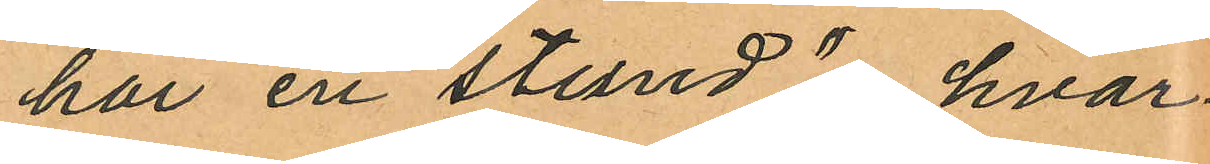har en stund", hvar¬
